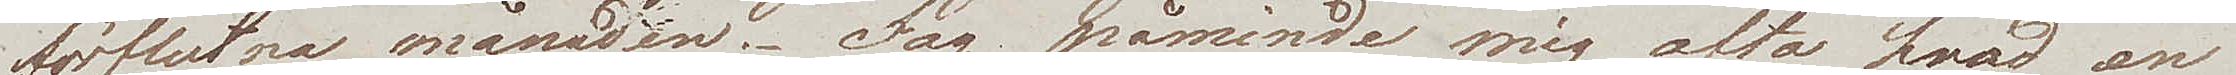förflutna månaden. Jag påminde mig ofta hvad en
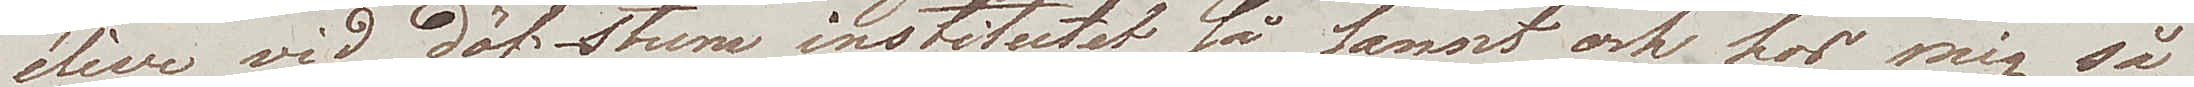élève vid döf-stum institutet så sannt och hos mig så
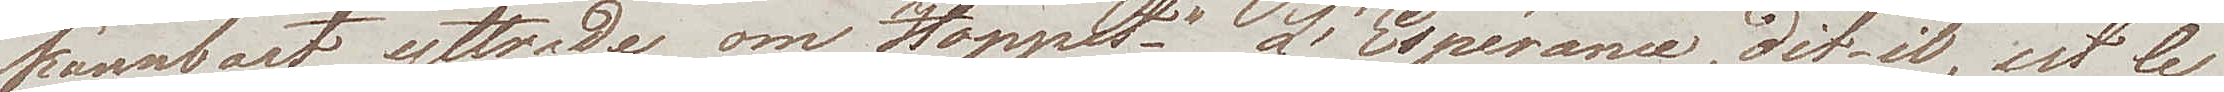kännbart, yttrade om Hoppet – "L'Espérance, dit-il, est le
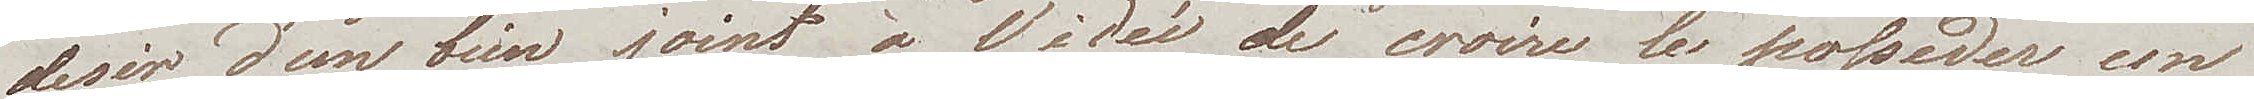desir d'un bien joint à l'idée de croire le posseder un 
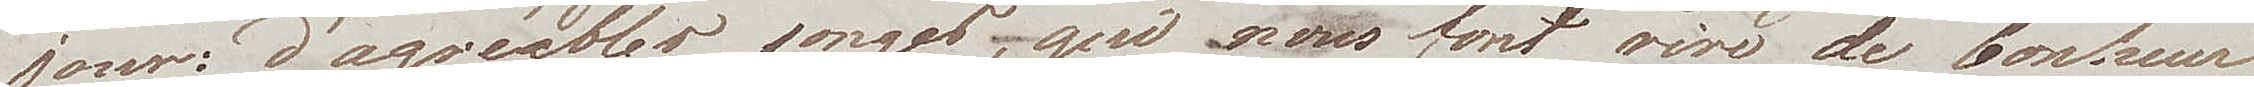jour: d'agréables songes – que nous font rire de bonheur,
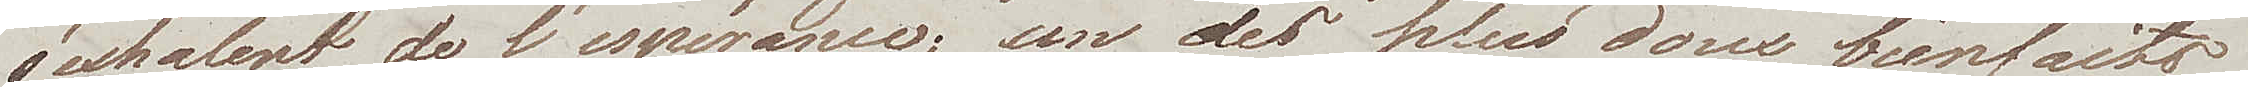s'exhalent de l'espérance, un des plus doux bienfaits
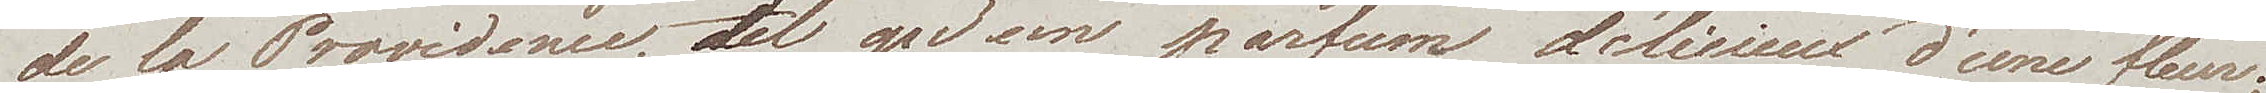de la Providence, tel qu'un parfum délicieux d'une fleur;
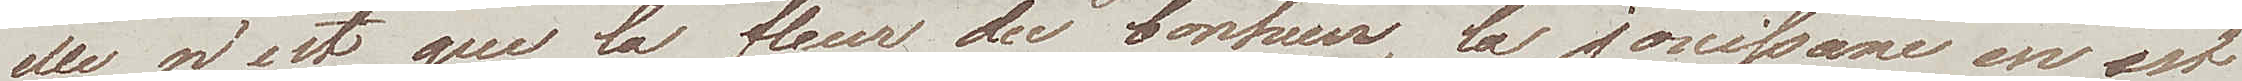elle n'est que la fleur de bonheur, la jouissance en est
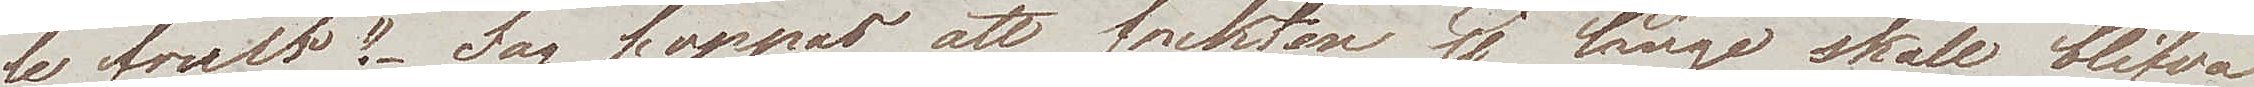le fruit." Jag hoppas att frukten ej länge skall blifva
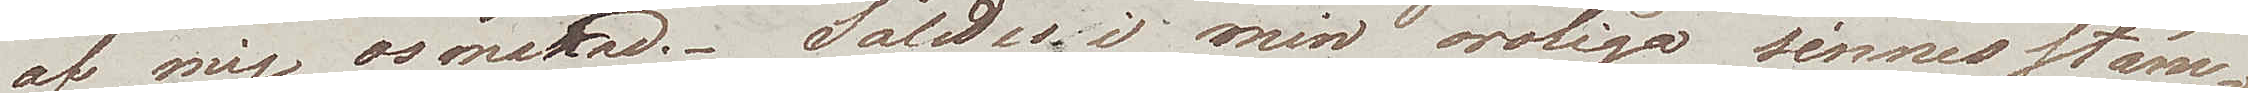af mig osmakad. Således i min oroliga sinnesstäm¬
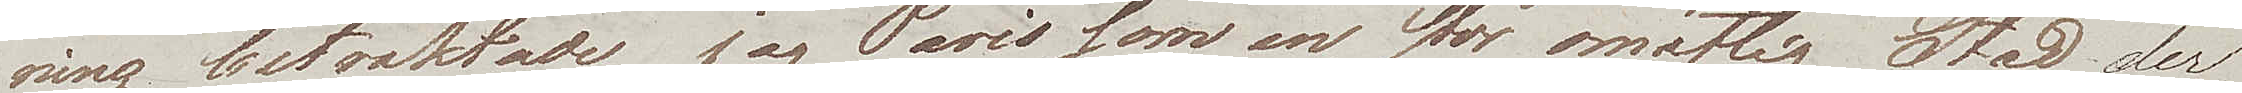ning betraktade jag Paris som en stor omätlig Stad der
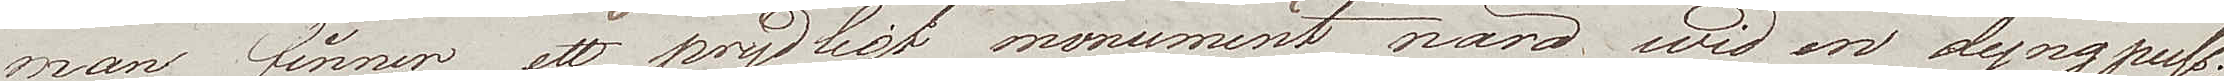man finner ett prydligt monument nära wid en dyngpuss,
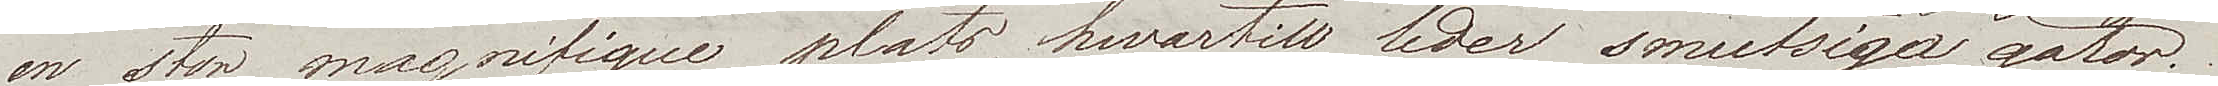en stor magnifique plats, hvartill leder smutsiga gator,
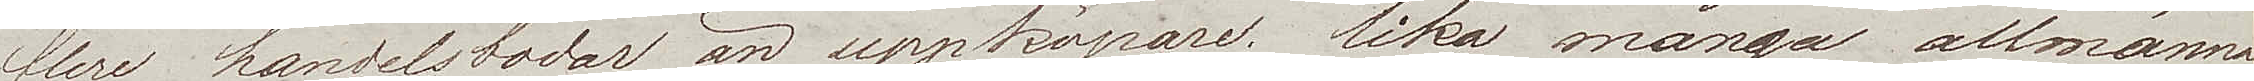flere handelsbodar än uppköpare; lika många allmänna
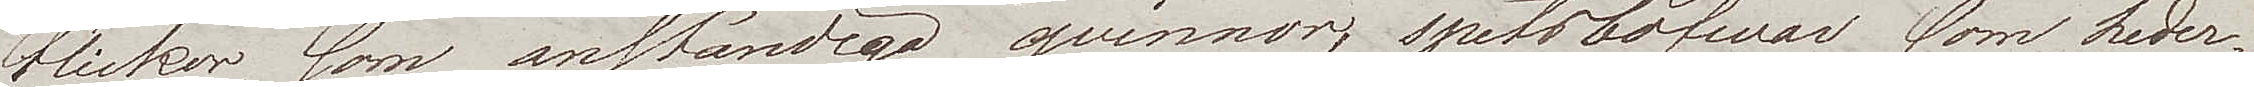Flickor som anständiga qvinnor; spitsbofvar som heder¬
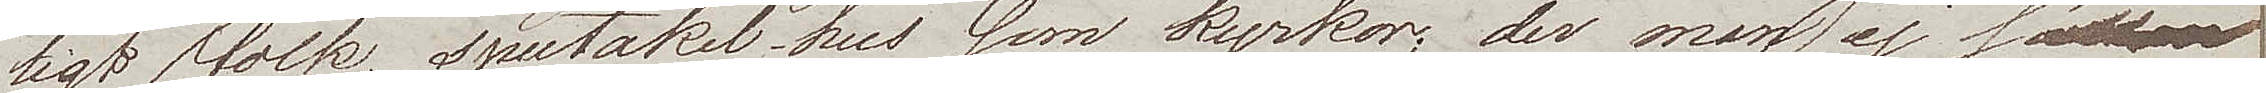ligt folk, spectakel-hus som kyrkor; der man ej sällan 
